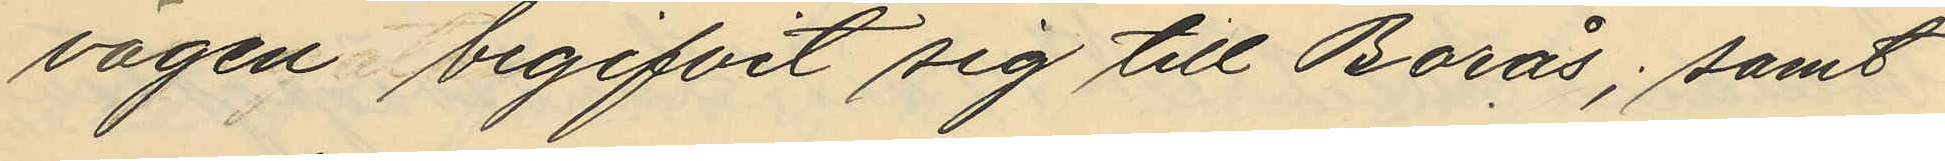vägen begifvit sig till Borås; samt
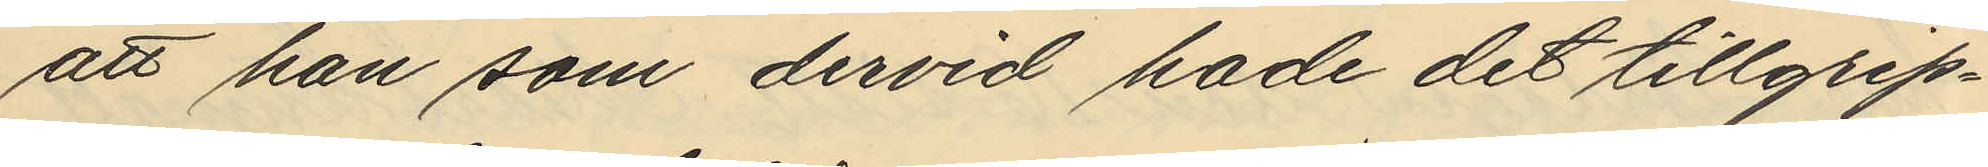att han som dervid hade det tillgrip¬
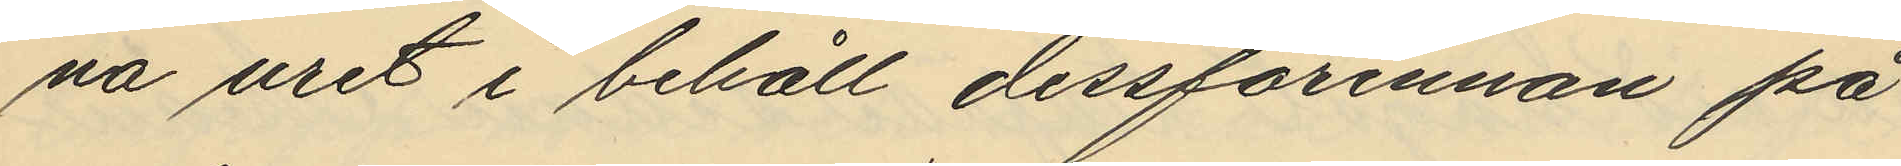na uret i behåll dessförinnan på
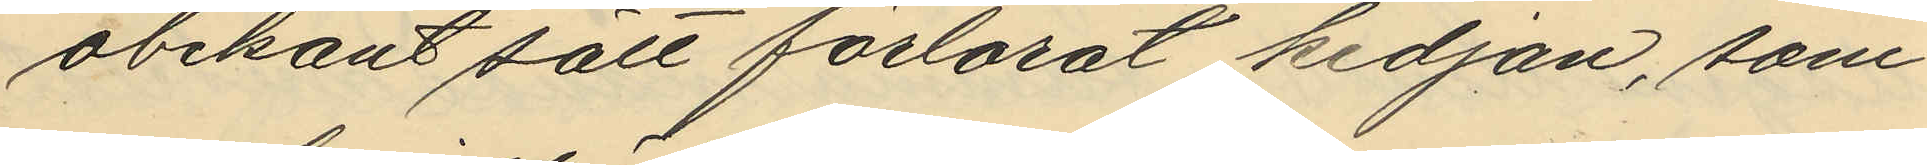obekant sätt förlorat kedjan, som
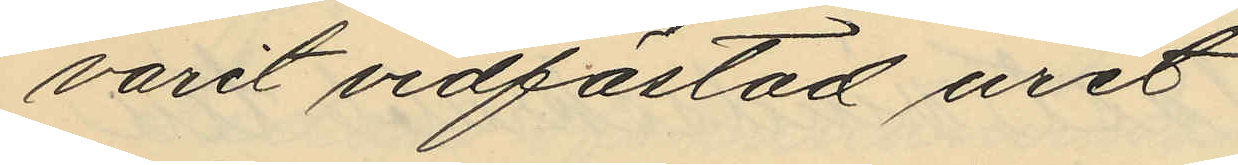varit vidfästad uret
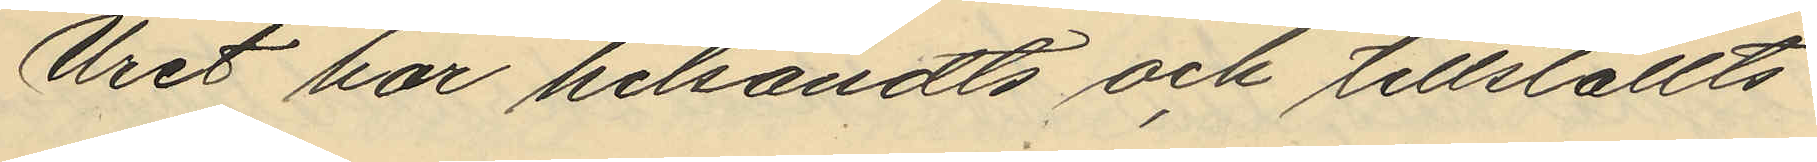Uret har hitsändts och tillställts
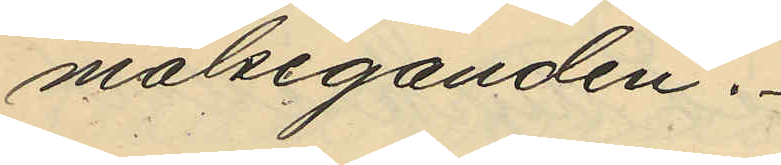målseganden.
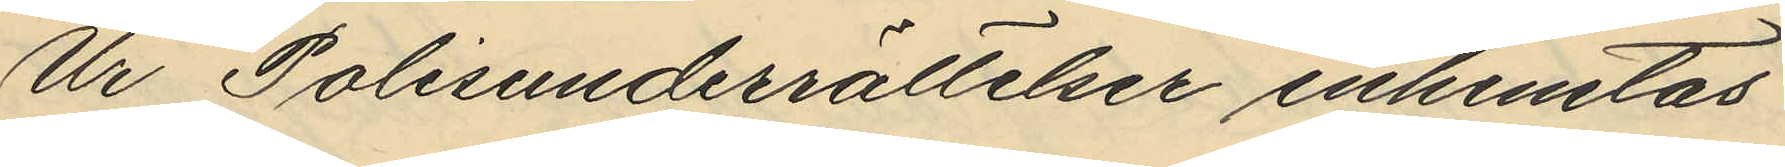Ur Polisunderrättelser inhemtas
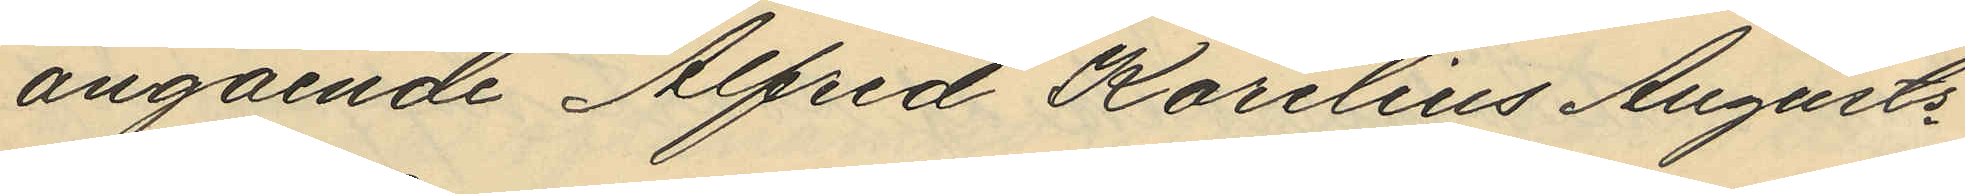angående Alfred Karelius Augusts¬
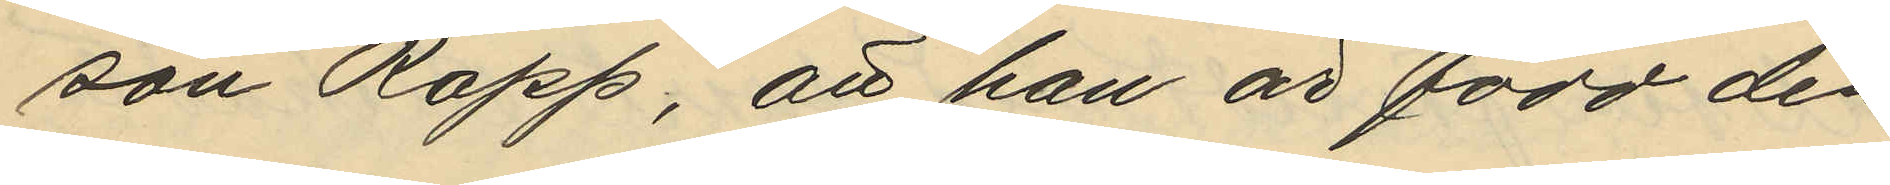son Rapp, att han är född den
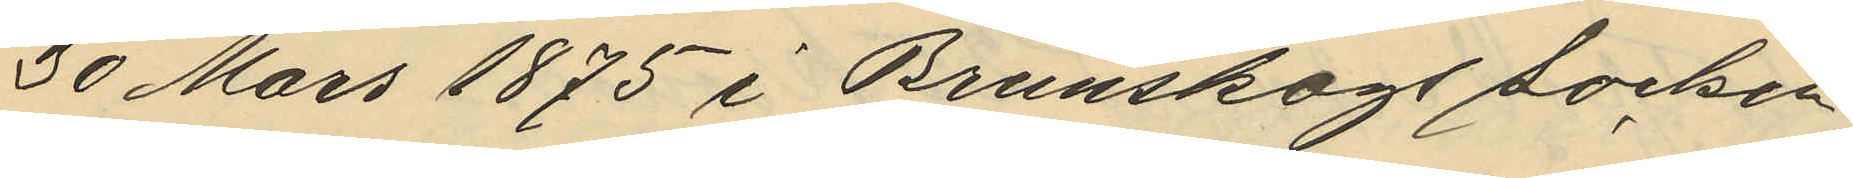30 Mars 1875 i Brunskogs socken
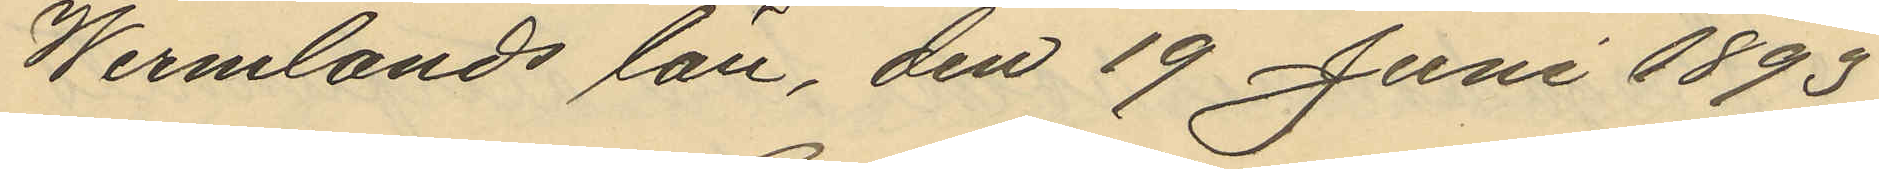Wermlands län, den 19 Juni 1893
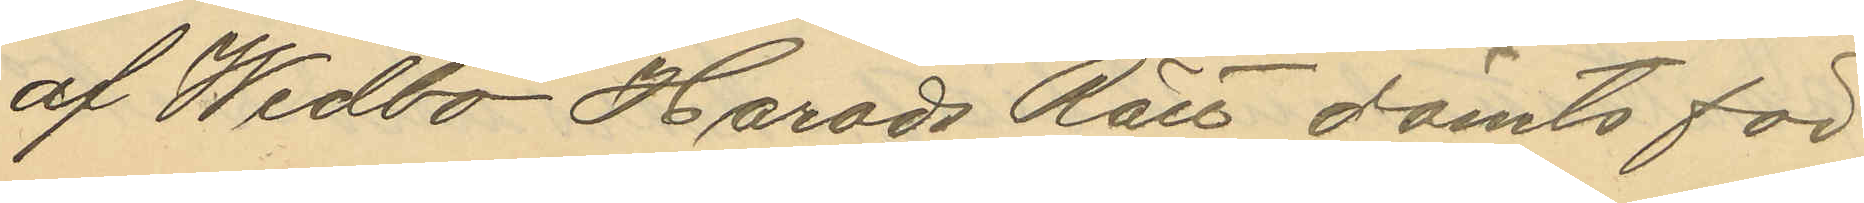af Wedbo Härads Rätt dömts för
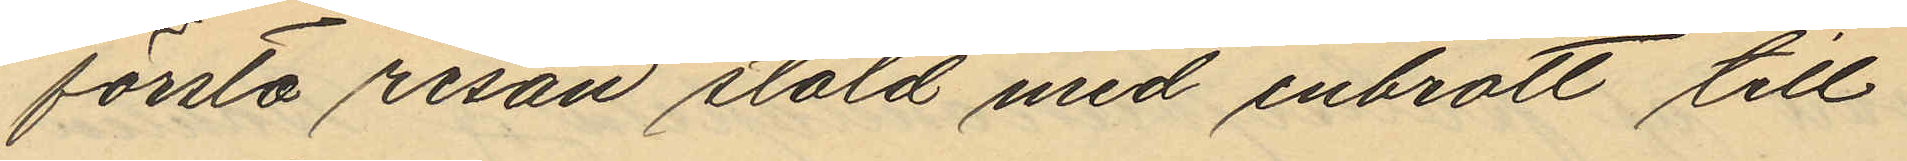första resan stöld med inbrott till
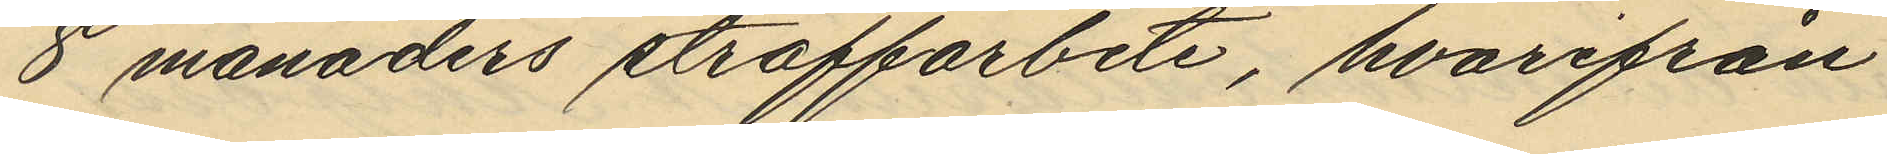8 månaders straffarbete, hvarifrån
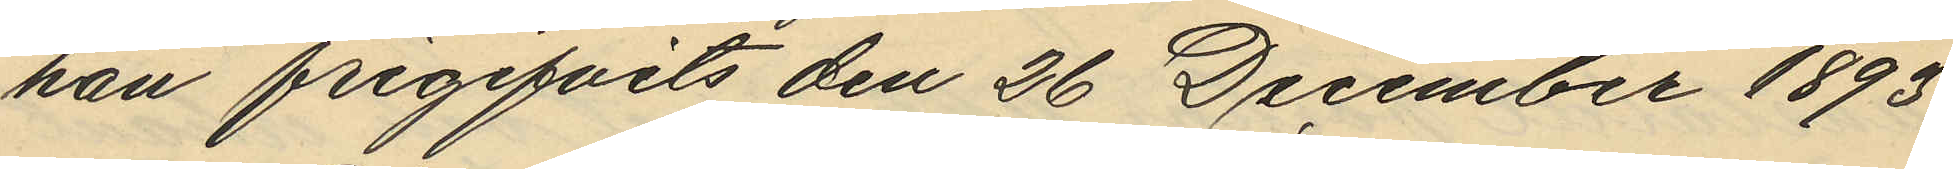han frigifvits den 26 December 1893
